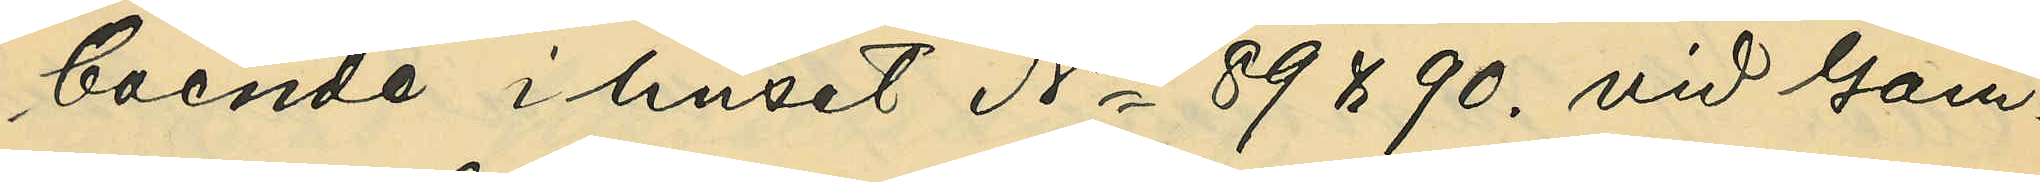boende i huset No 89 & 90. vid Gam¬
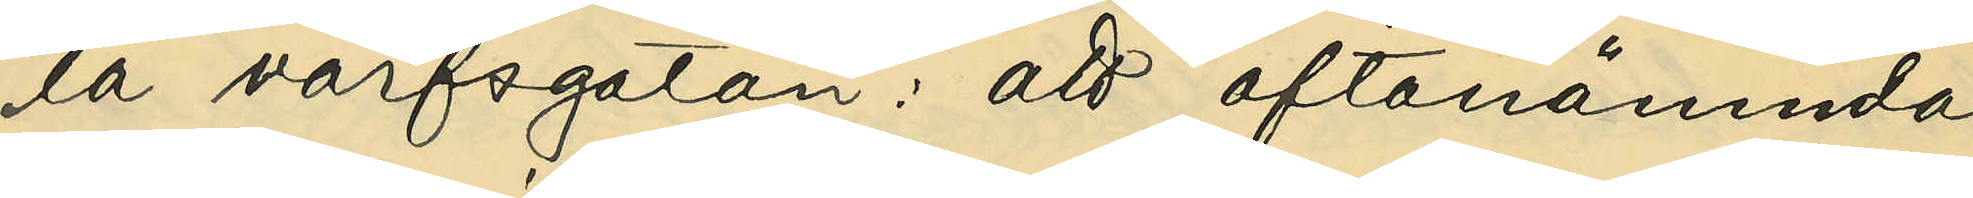la varfsgatan: att oftanämnde
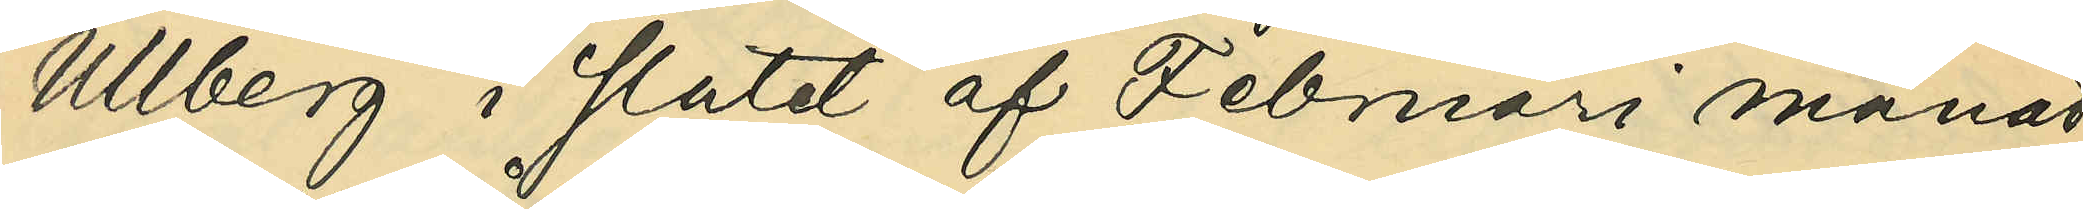Ullberg i slutet af Februari månad
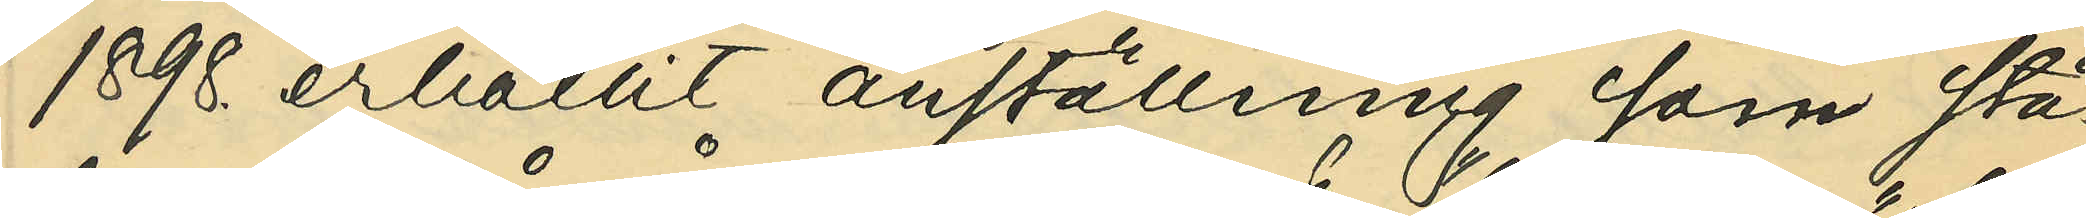1898. erhållit anställning som stä¬
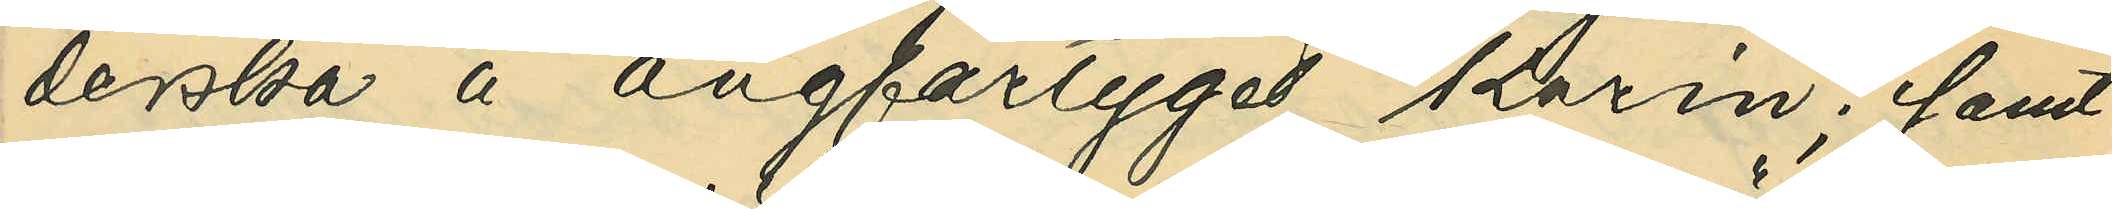derska å ångfartyget "Karin"; samt
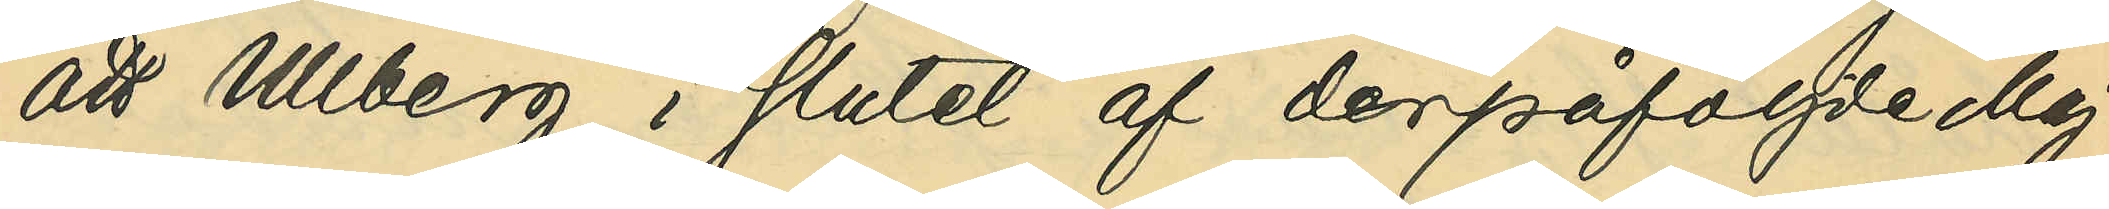att Ullberg i slutet af derpåföljde Maj
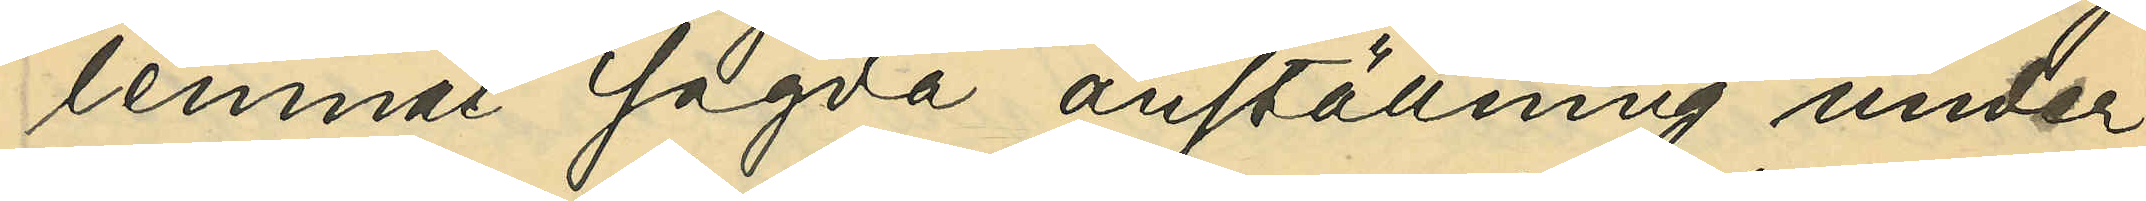lemnat sagda anställning under
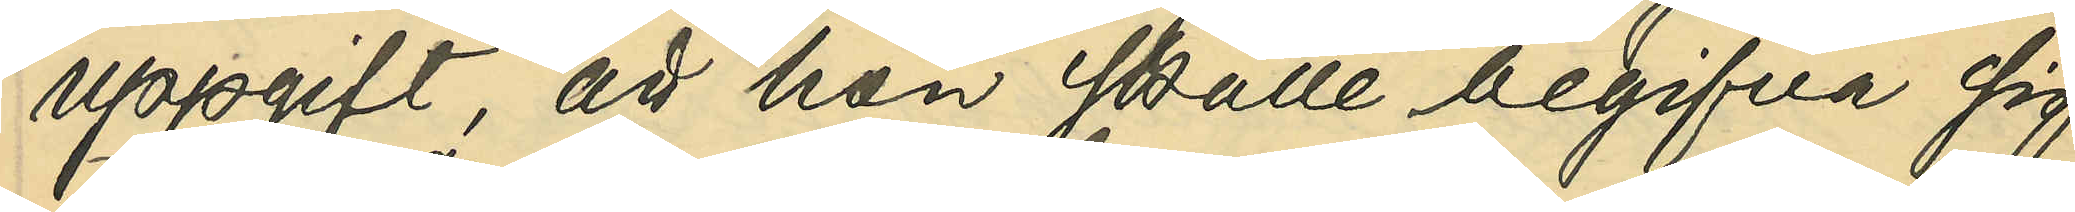uppgift, att hon skulle begifva sig
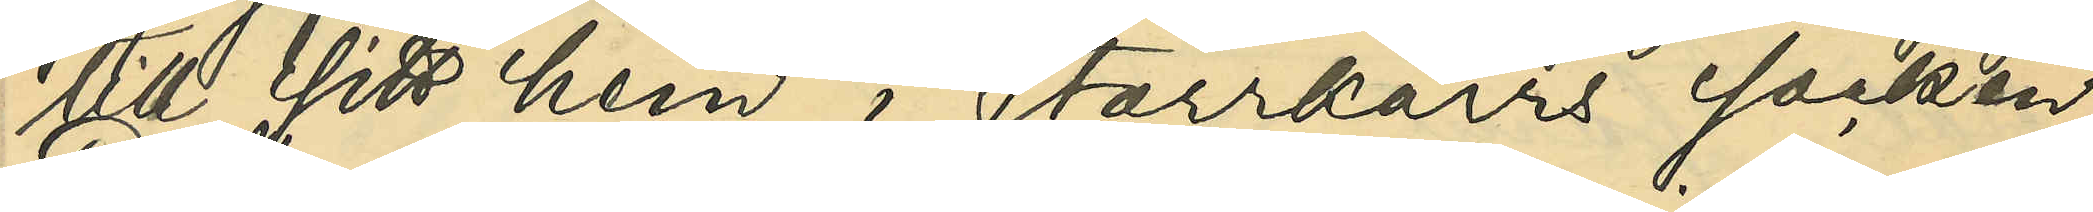till sitt hem i Starrkärrs socken;
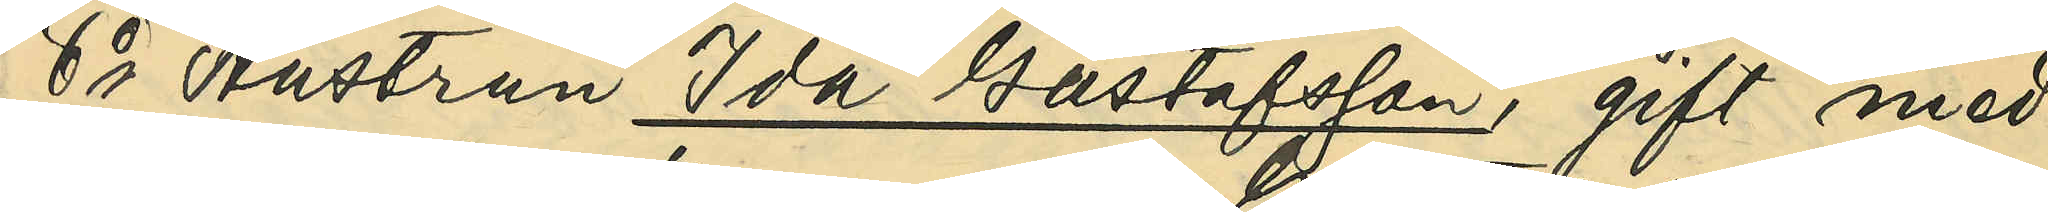6o Hustrun Ida Gustafsson, gift med
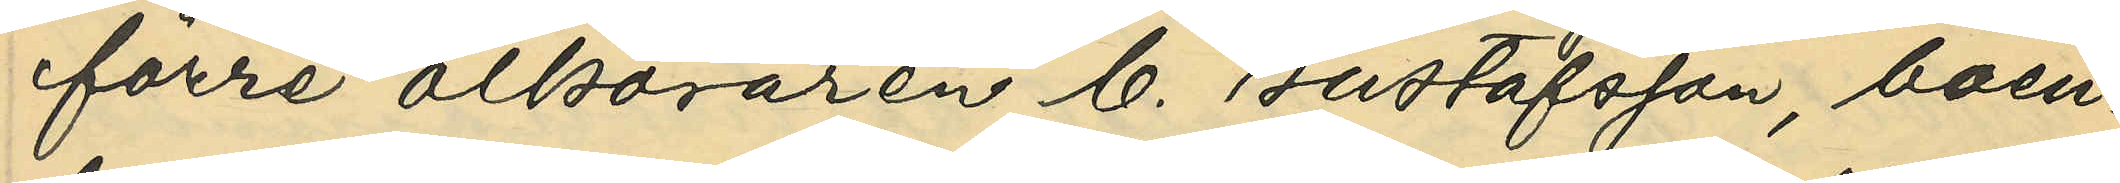förre ölköraren C. Gustafsson, boen¬
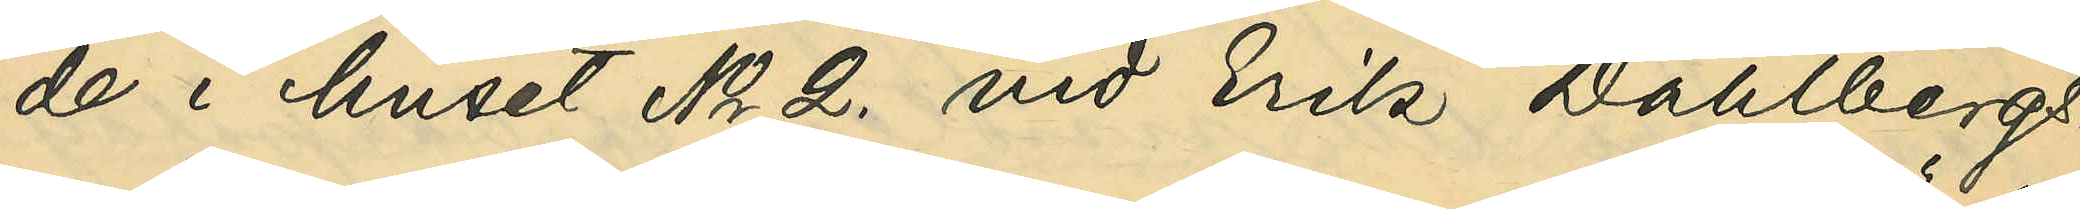de i huset No 2. vid Erik Dahlbergs¬
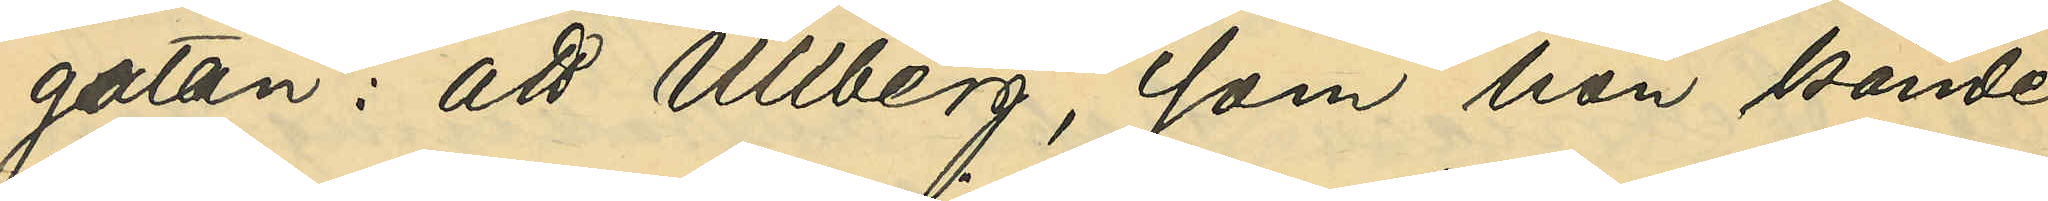gatan: att Ullberg, som hon kände
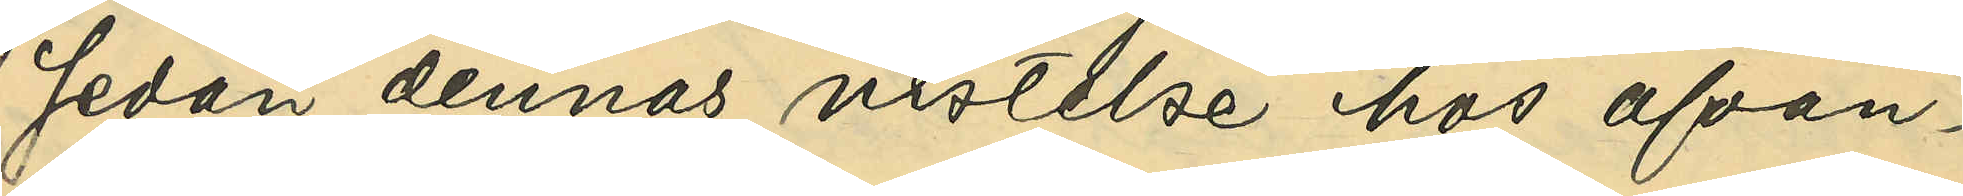sedan dennes vistelse hos ofvan¬
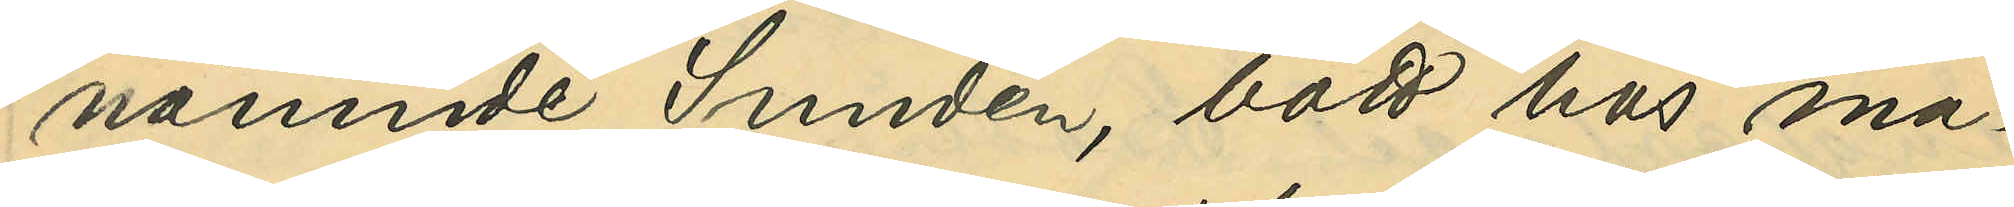nämnde Sundén, bott hos ma¬
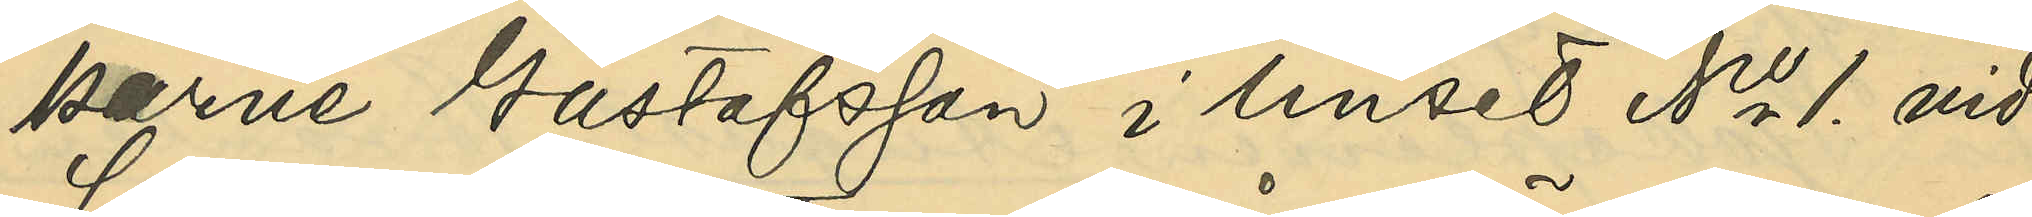karne Gustafsson i huset No 1. vid
